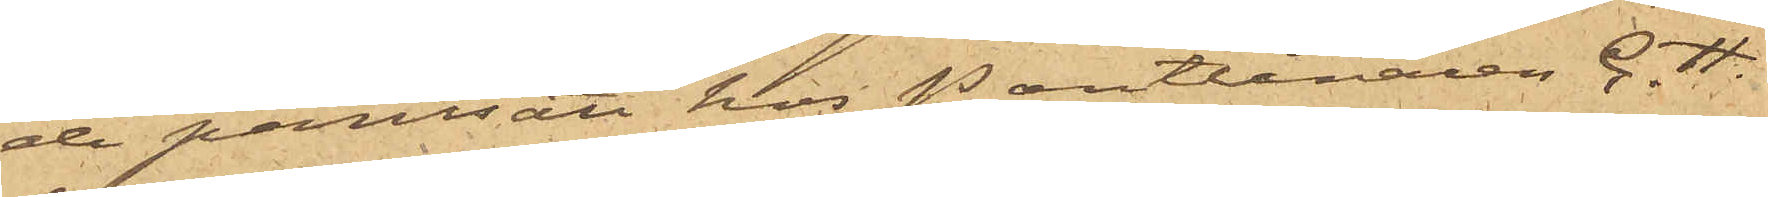de pantsatt hos Pantlånaren C. H.
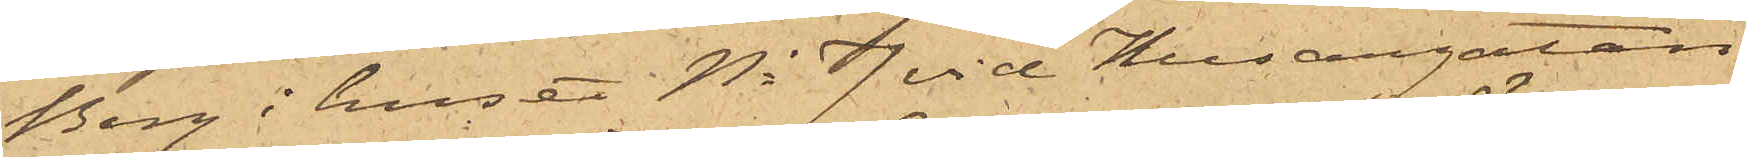Berg i huset No 7 vid Husargatan
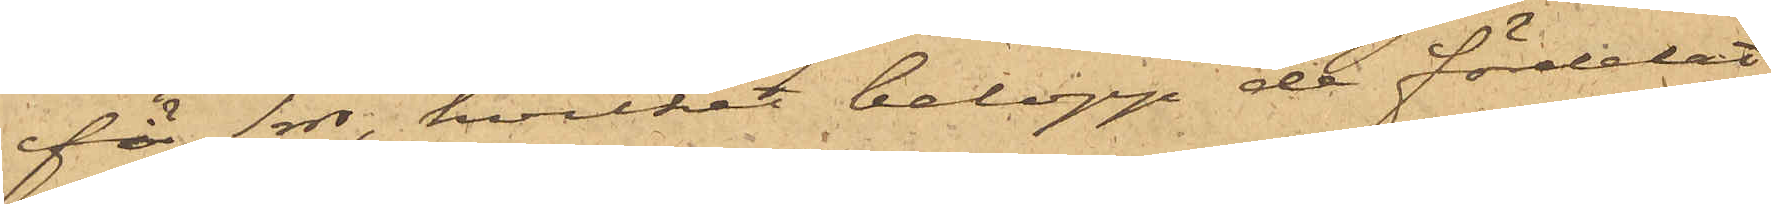för 1 rdr, hvilket belopp de fördelat
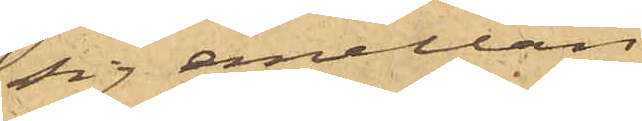sig emellan.
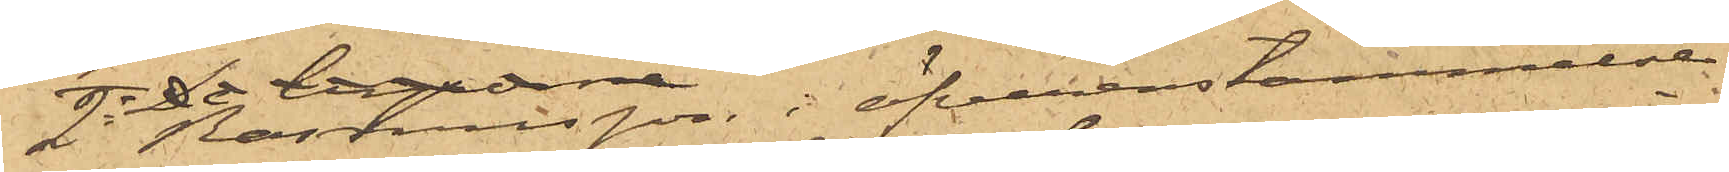2o Rasmusson i öfverenstämmelse
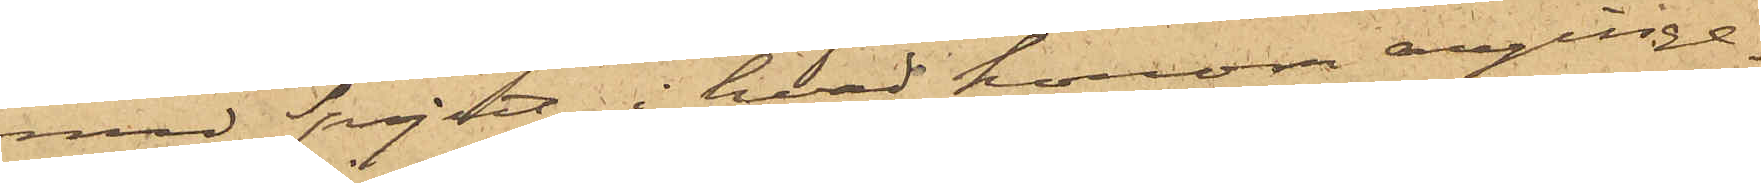med Spjut i hvad honom anginge.
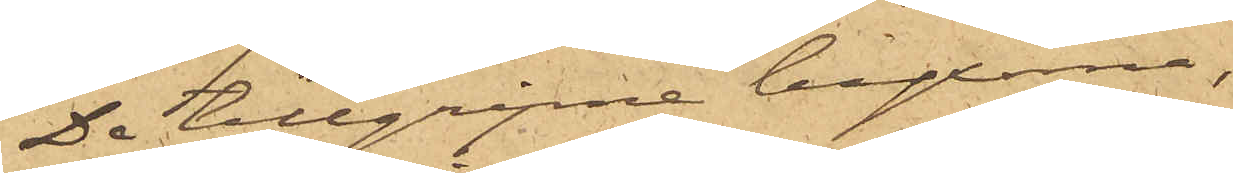De tillgripne byxorna,
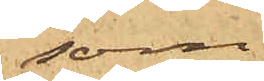som
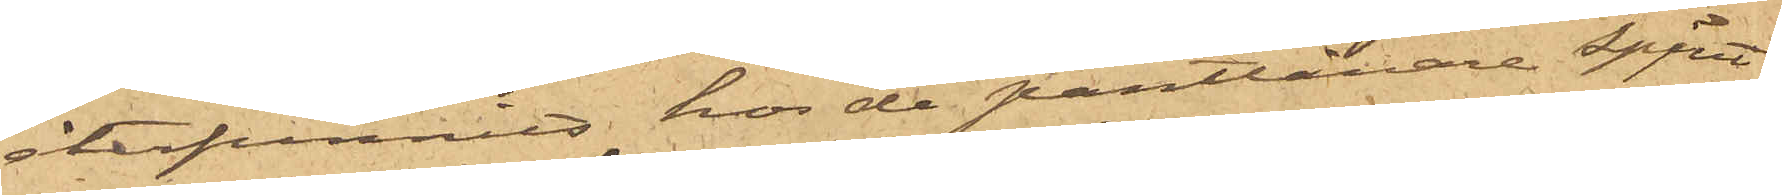återfunnit hos de pantlånare Spjut
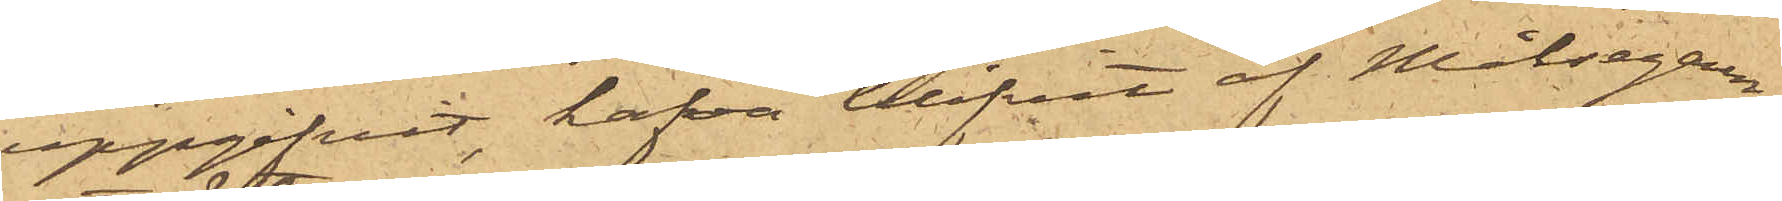uppgifvit, hafva blifvit af Målsegaren
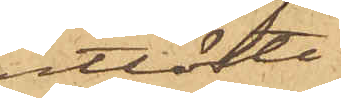utlöste.
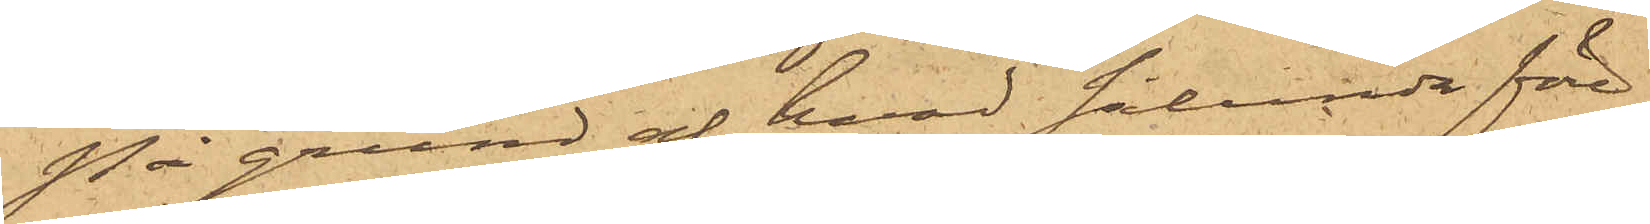På grund af hvad sålunda före¬
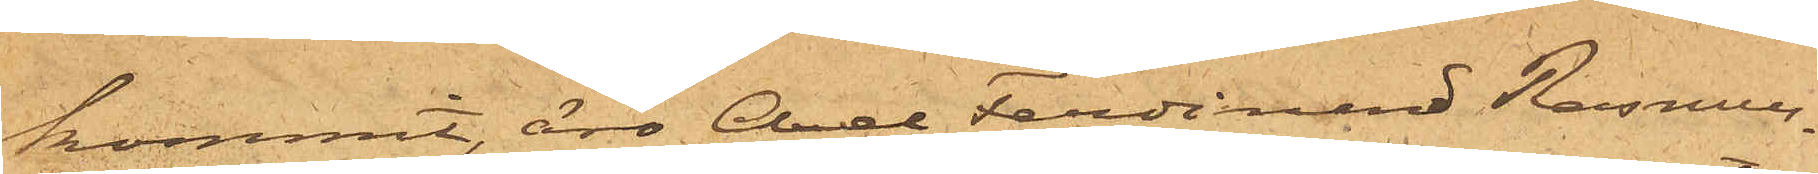kommit, äro Axel Ferdinand Rasmus¬
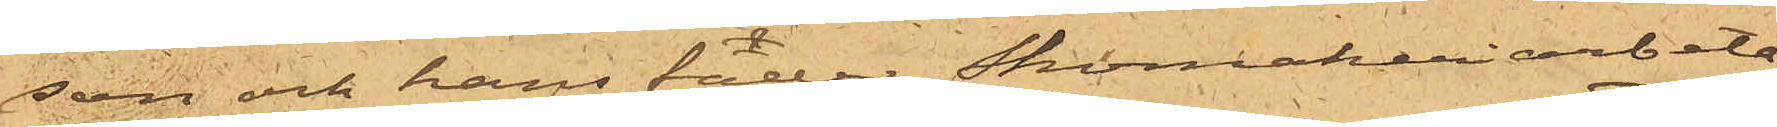son och hans fader Skomakeriarbeta¬
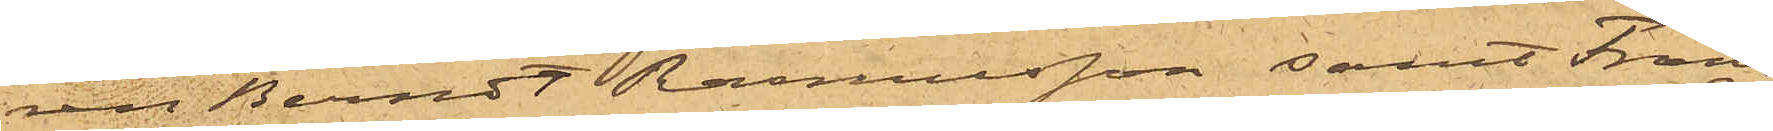ren Berndt Rasmusson samt Frans
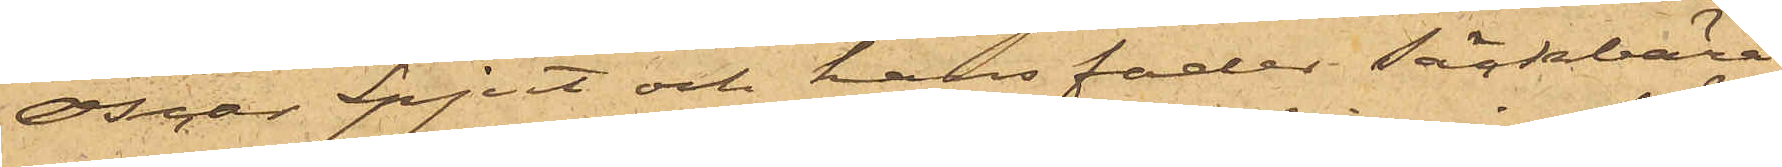Oscar Spjut och hans fader Säckbära¬
